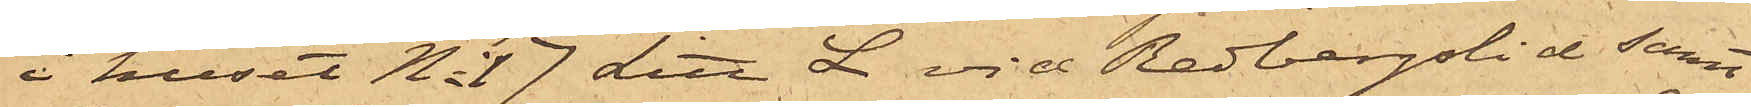i huset No 17 Litt L vid Redbergslid samt
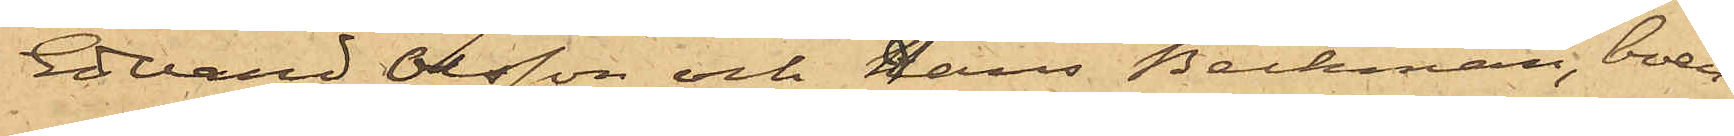Edvard Olsson och Hans Beckman, boen¬
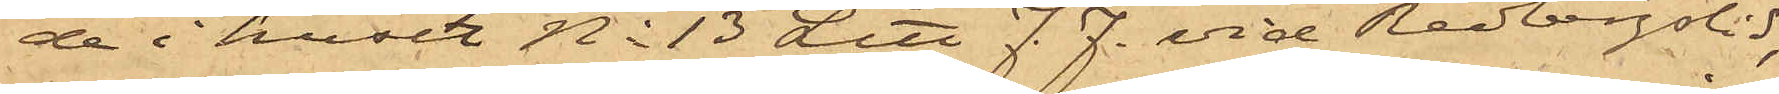de i huset No 13 Litt F. F. vid Redbergslid,
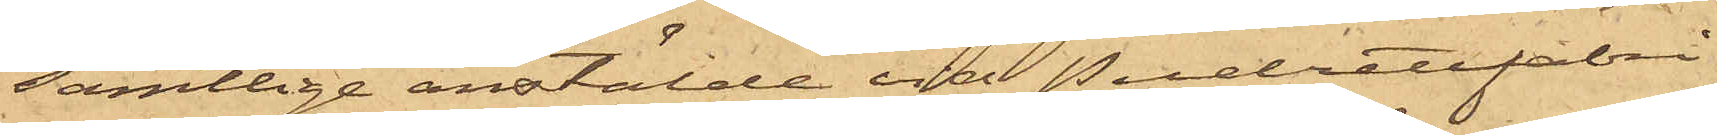samtlige anstälde vid Pudrettfabri¬
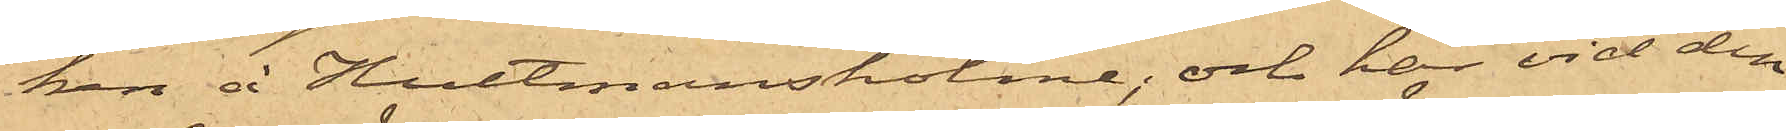ken å Hultmansholme; och har vid den
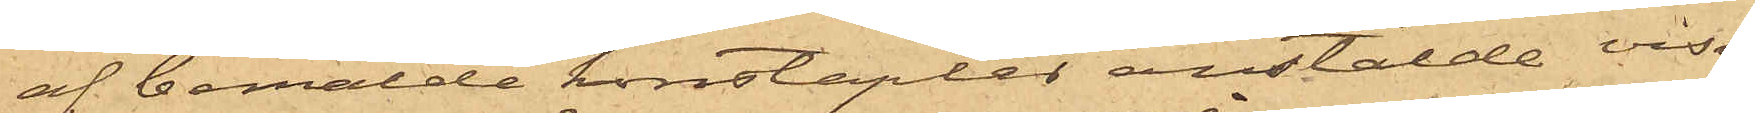af bemälde konstapler anstälde visi¬
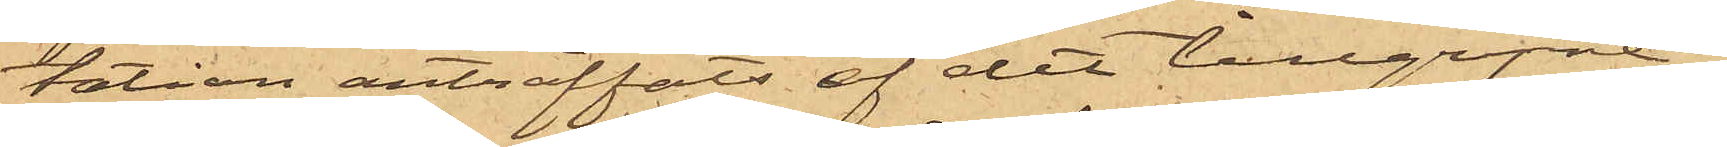tation anträffats af det tillgripne i
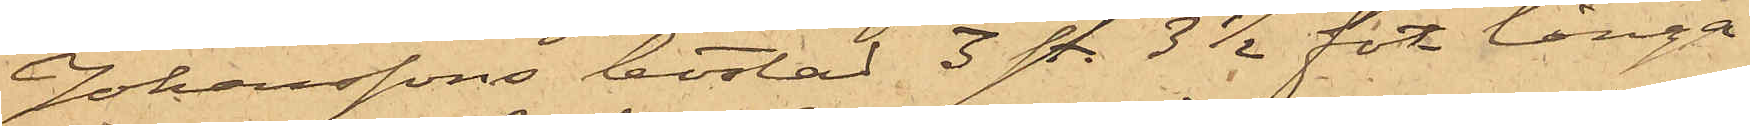Johanssons bostad 3 st. 3 1/2 fot långa
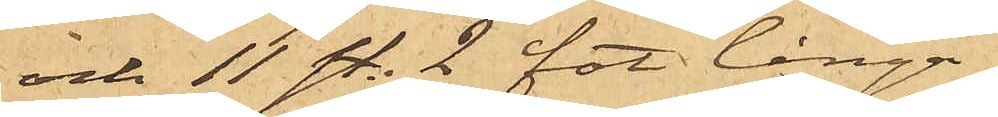och 11 st. 2 fot långa,
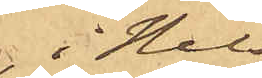i Nils¬
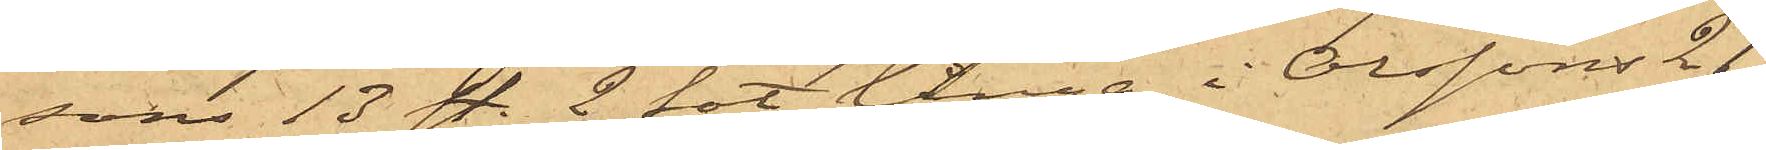sons 13 st. 2 fot långa, i Olssons 21
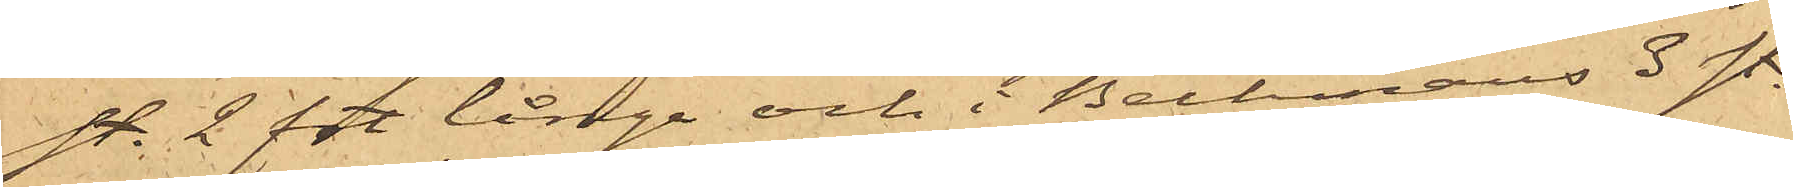st. 2 ft långa och i Beckmans 3 st.
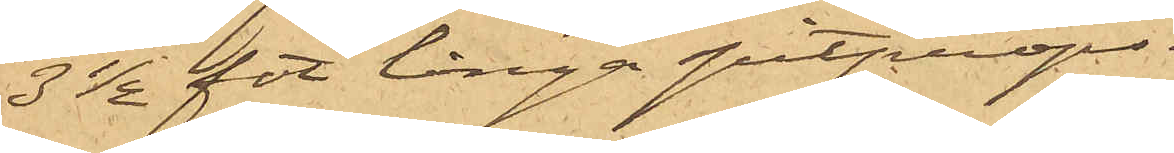3 1/2 fot långa pitprops.
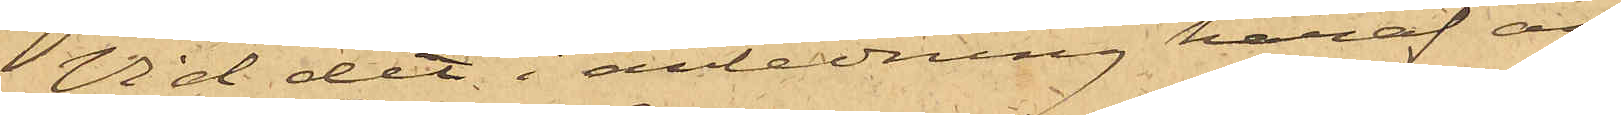Vid det i anledning häraf an¬
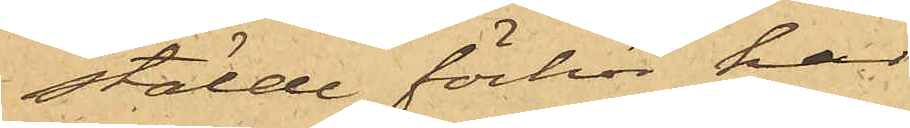stälde förhör har
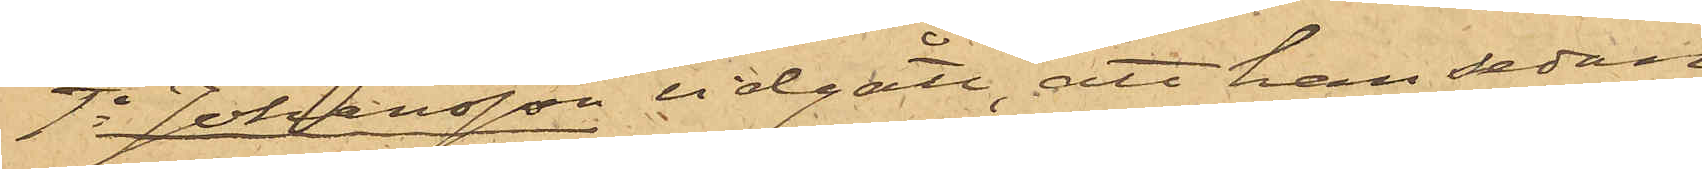1o Johansson vidgått, att han sedan
